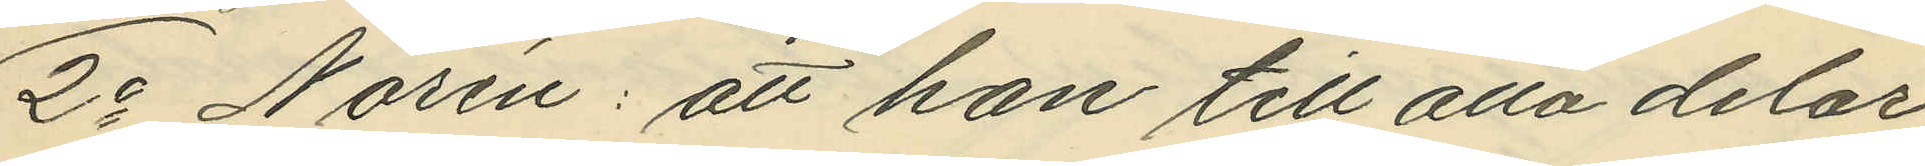2o Norén: att han till alla delar
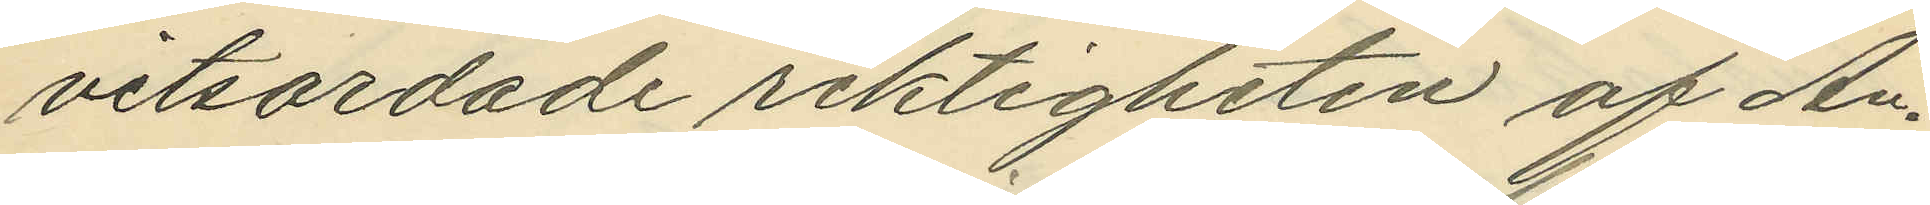vitsordade riktigheten af An¬
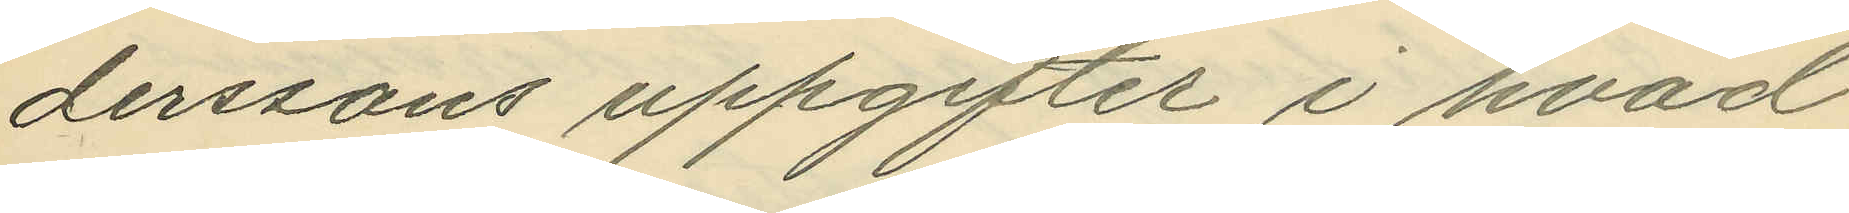derssons uppgifter i hvad
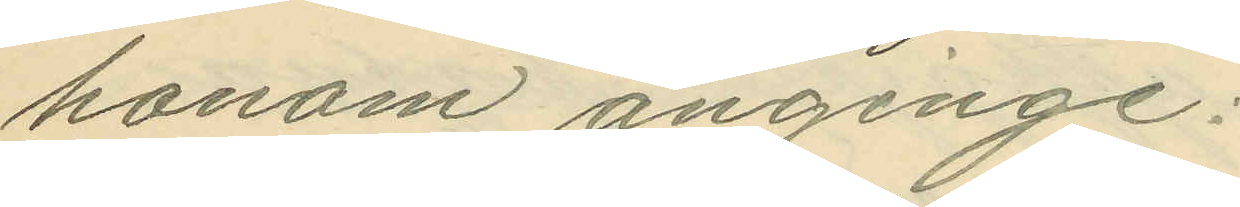honom anginge:
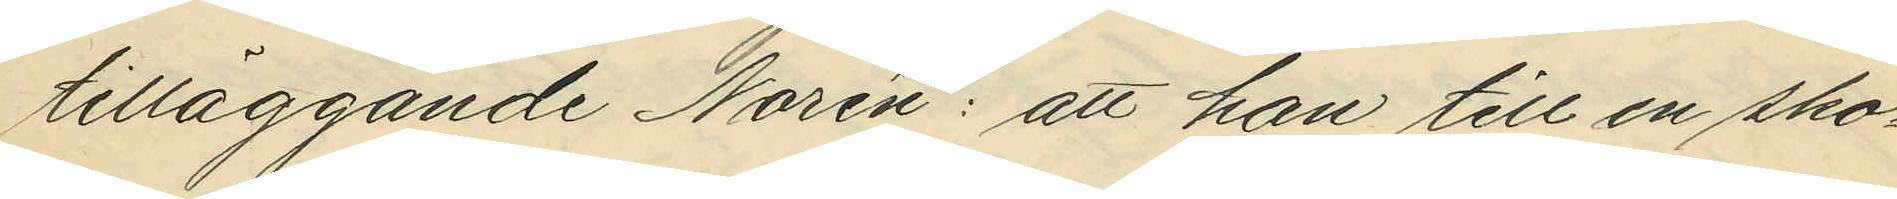tilläggande Norén: att han till en sko¬
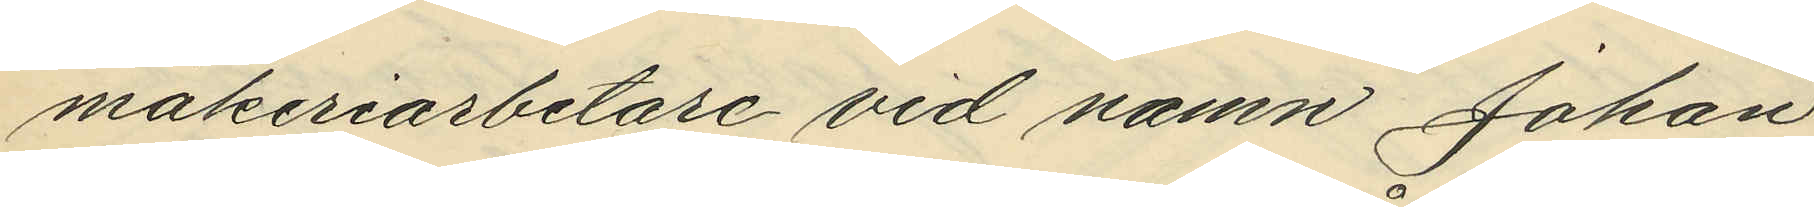makeriarbetare vid namn Johan
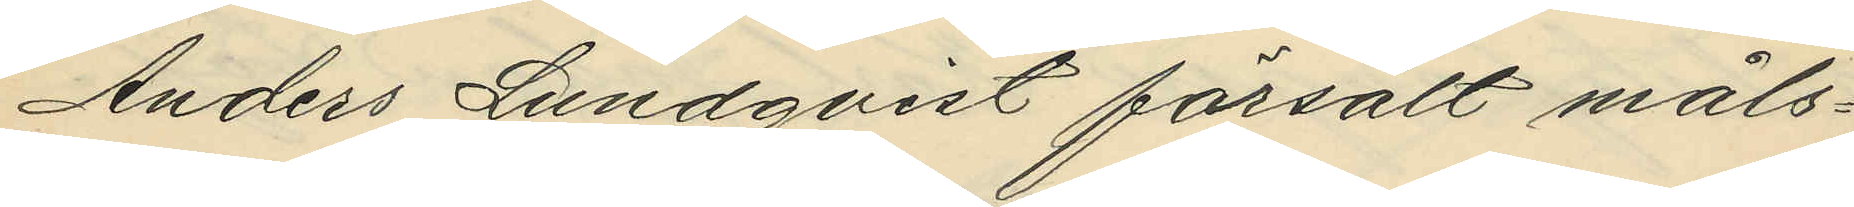Anders Lundqvist försålt måls¬
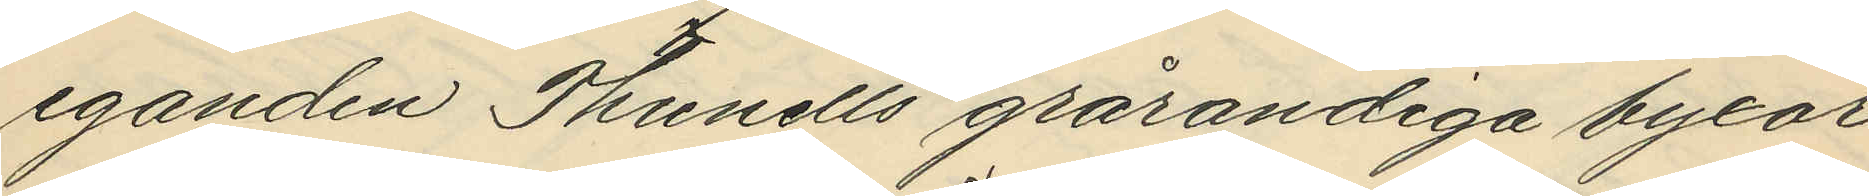eganden Thunells grårandiga byxor
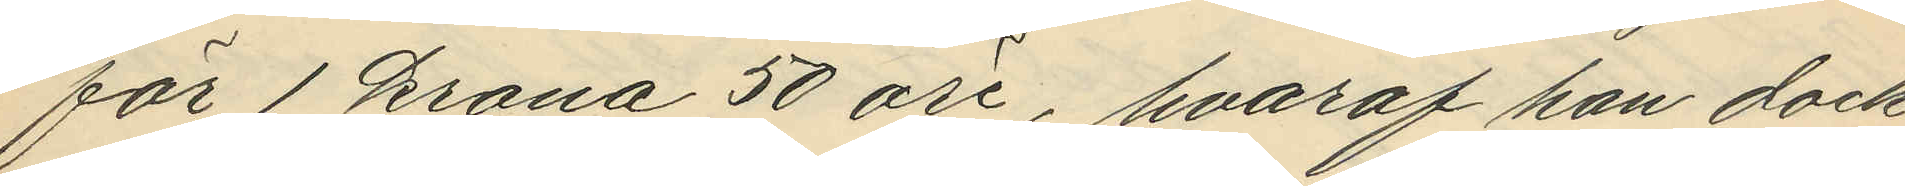för 1 krona 50 öre, hvaraf han dock
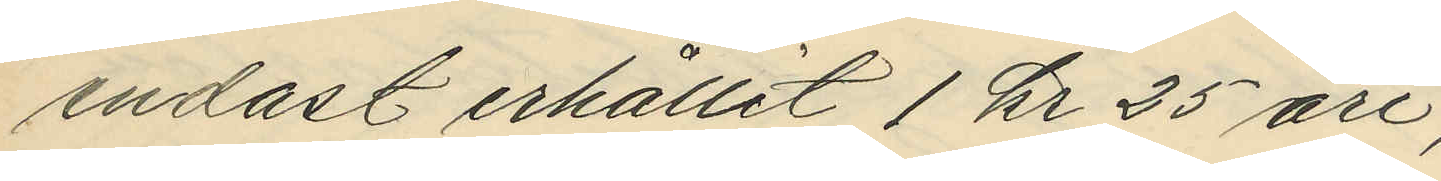endast erhållit 1 kr 25 öre;
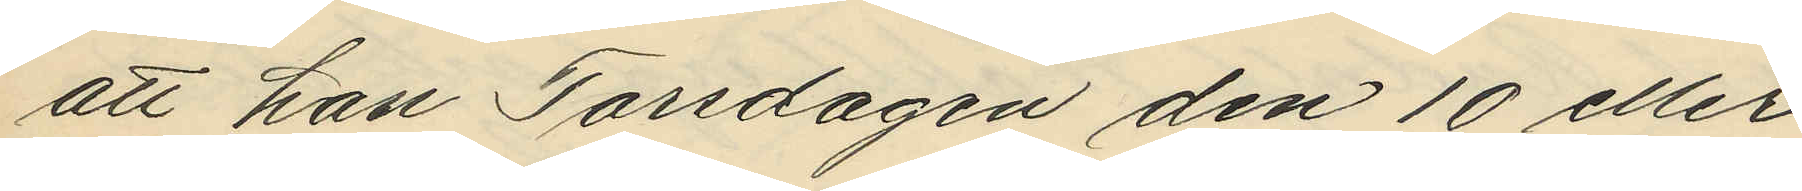att han Torsdagen den 10 eller
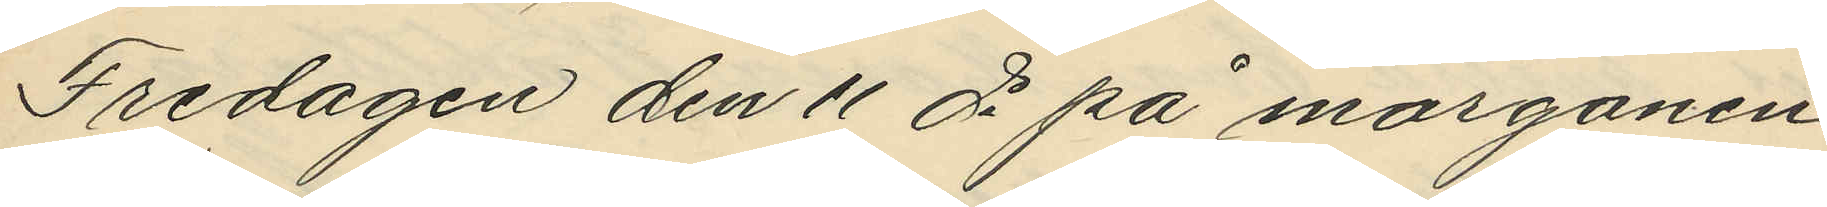Fredagen den 11 ds på morgonen
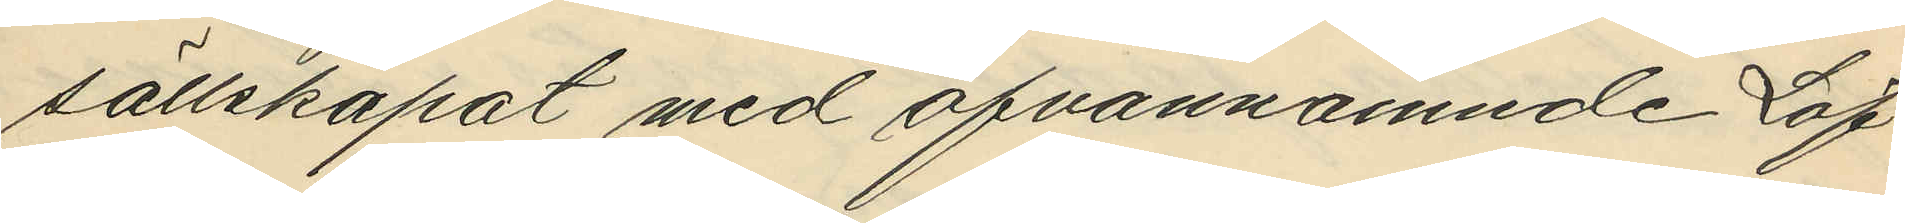sällskapat med ofvannamnde Löf¬
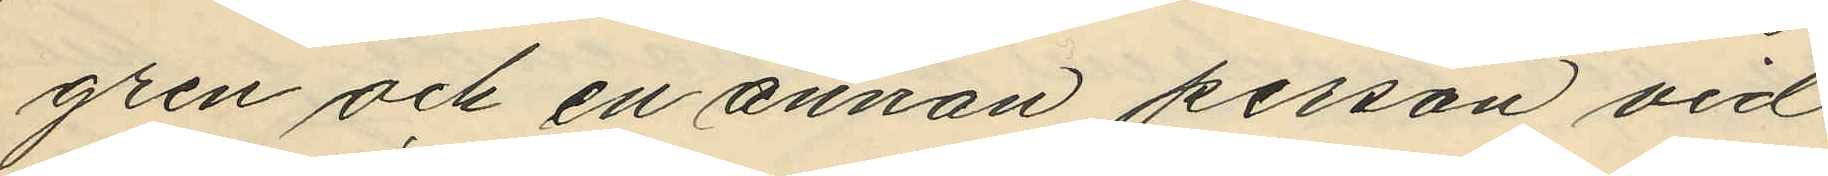gren och en annan person vid
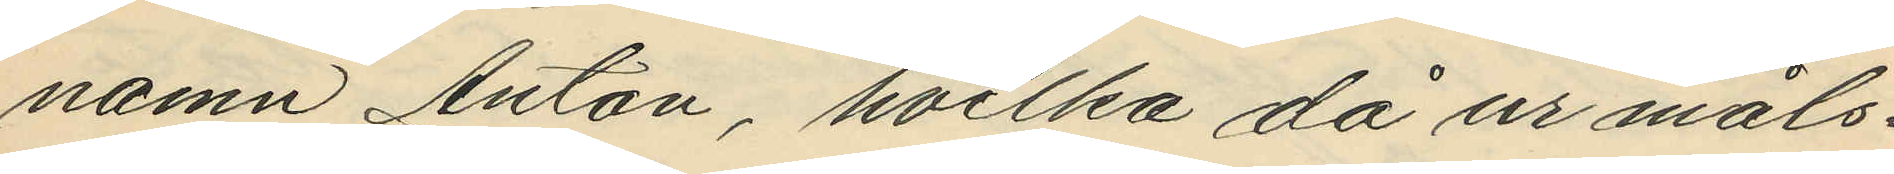namn Anton, hvilka då ur måls¬
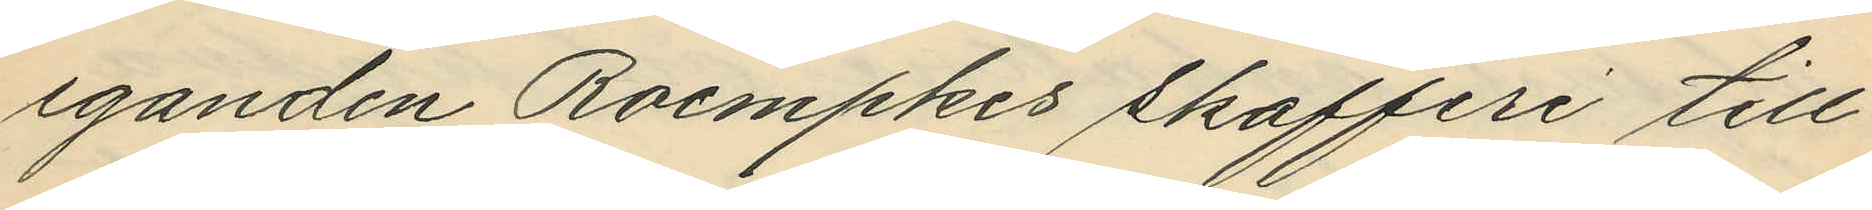eganden Roempkes skafferi till¬
